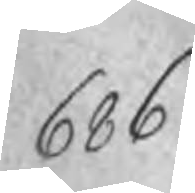686
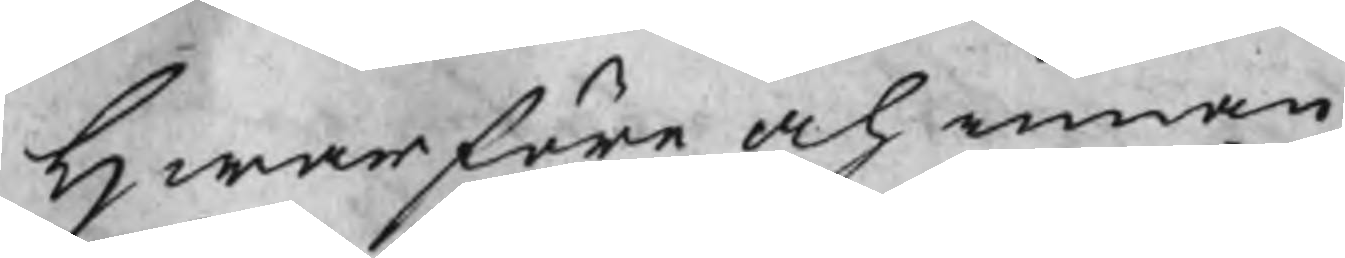Hwarföre och innan
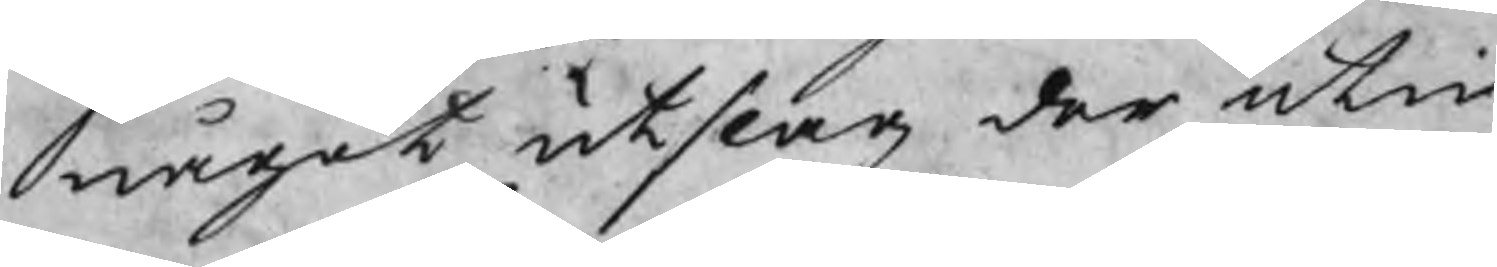något utslag der utin
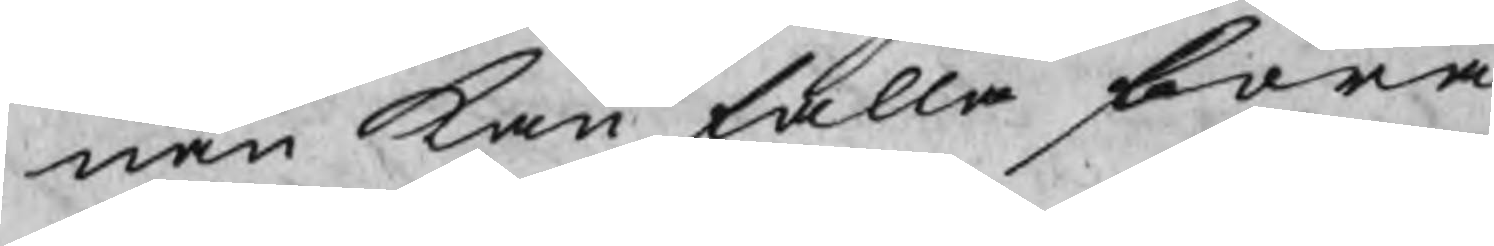nan kan falla böra
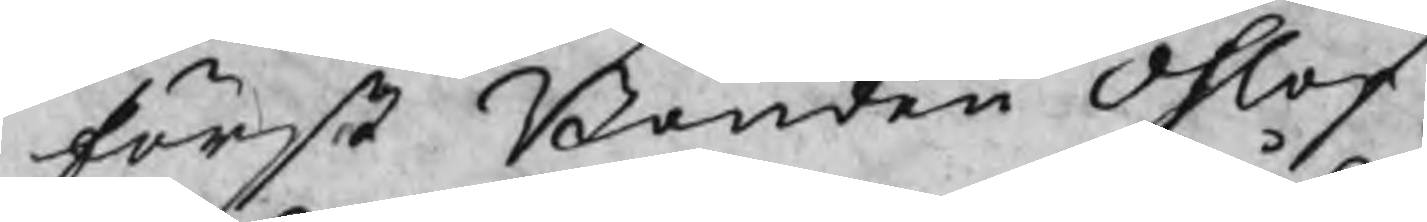först Bonden Ohlof
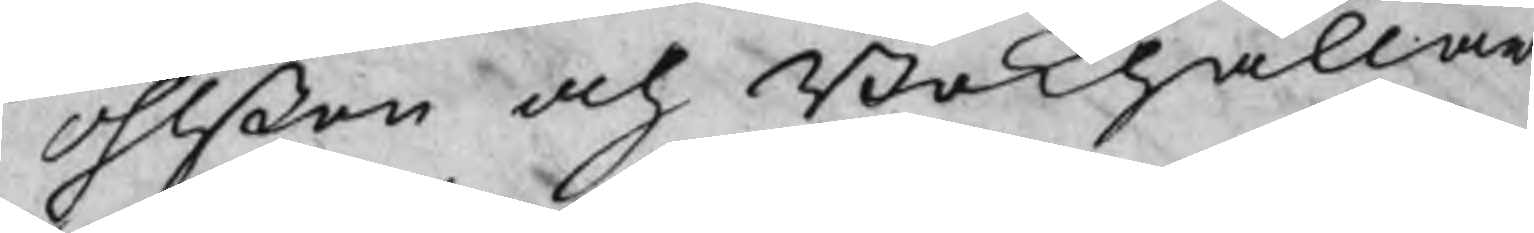Ohlßon och Bokhållar
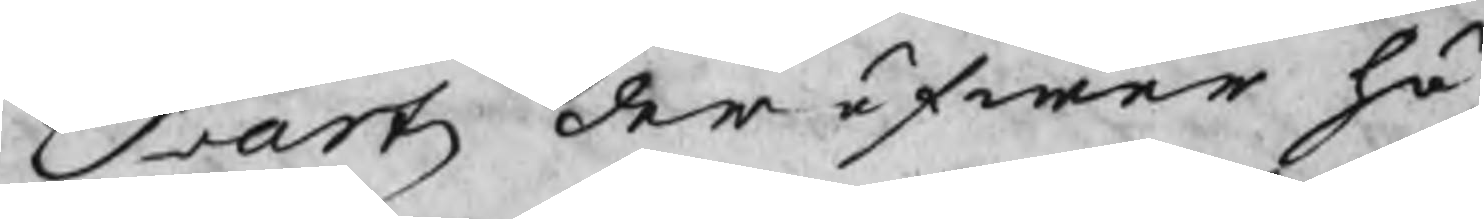Scartz der öfwer hö¬
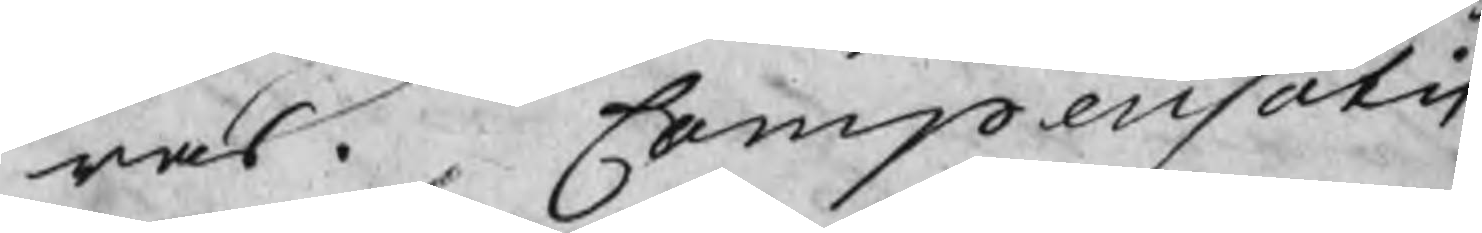ras. Compensatis
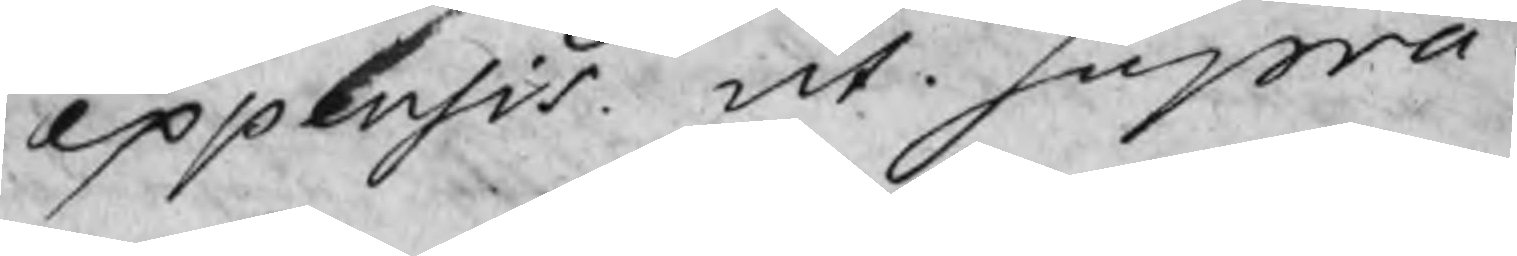expensis ut supra.
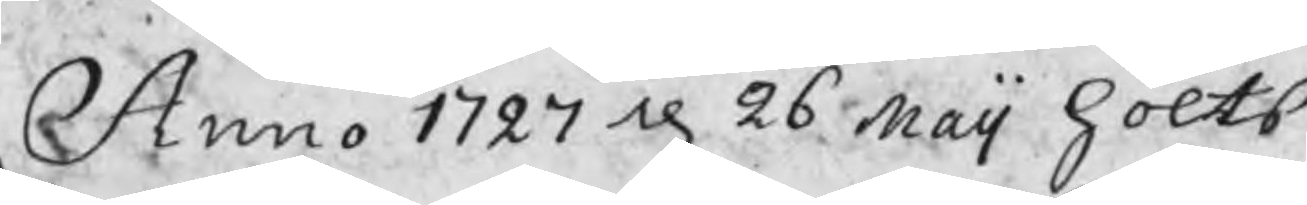Anno 1727 d 26 Maij hölts
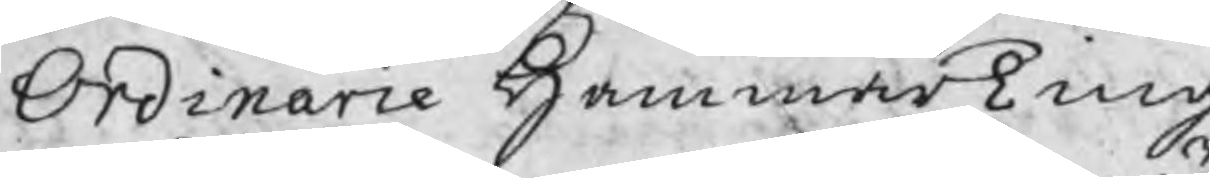Ordinarie HammarTing
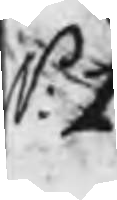N: 1
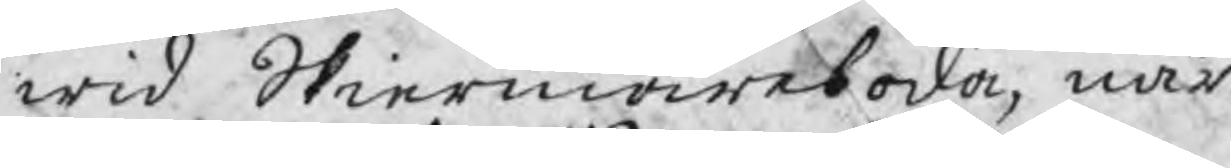wid Skiermarboda, när¬
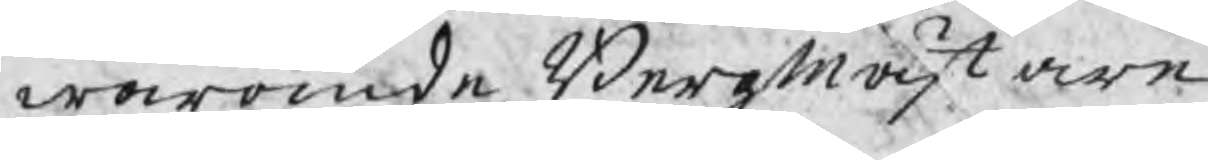warande BergMästare
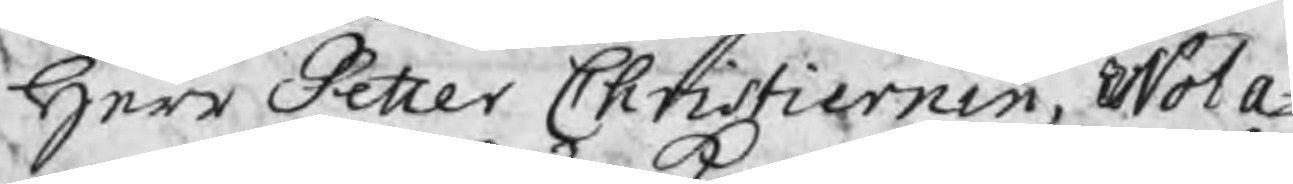Herr Petter Christiernin, Nota¬
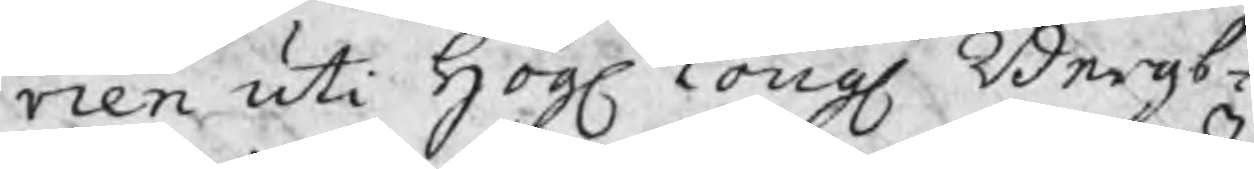rien uti Högl Kongl Bergs¬
